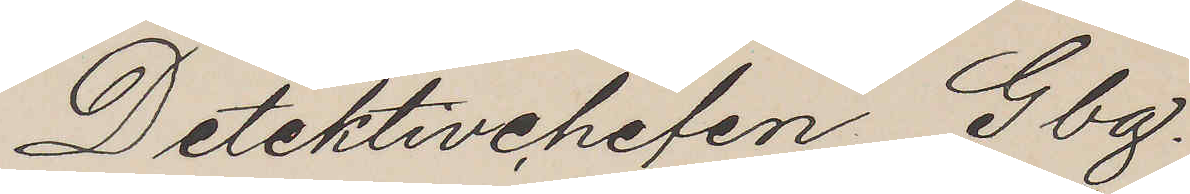Detektivchefen Gbg.
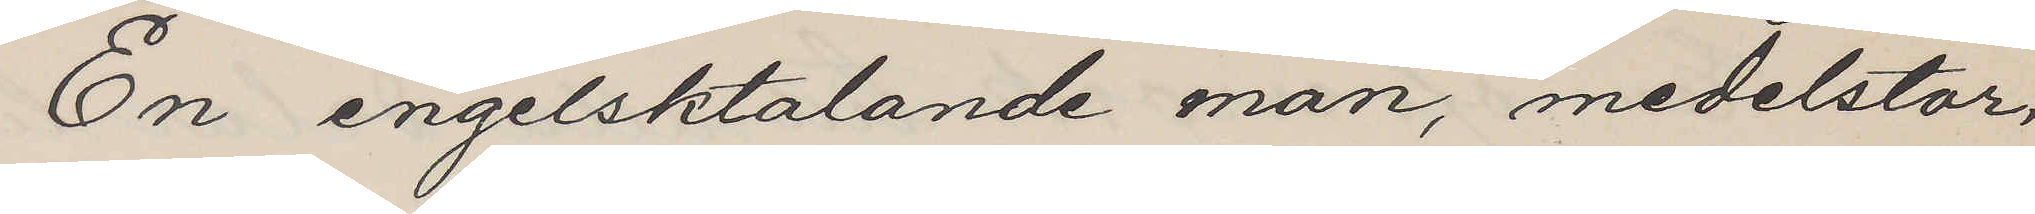En engelsktalande man, medelstor,
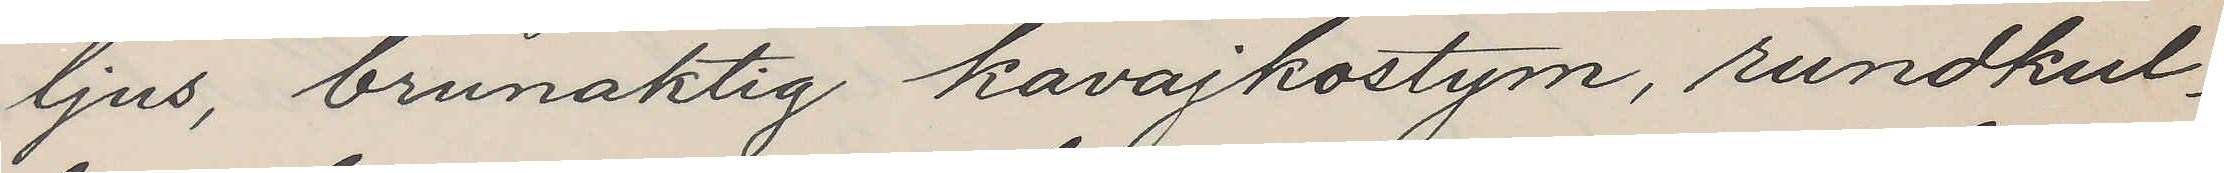ljus, brunaktig kavajkostym, rundkul¬
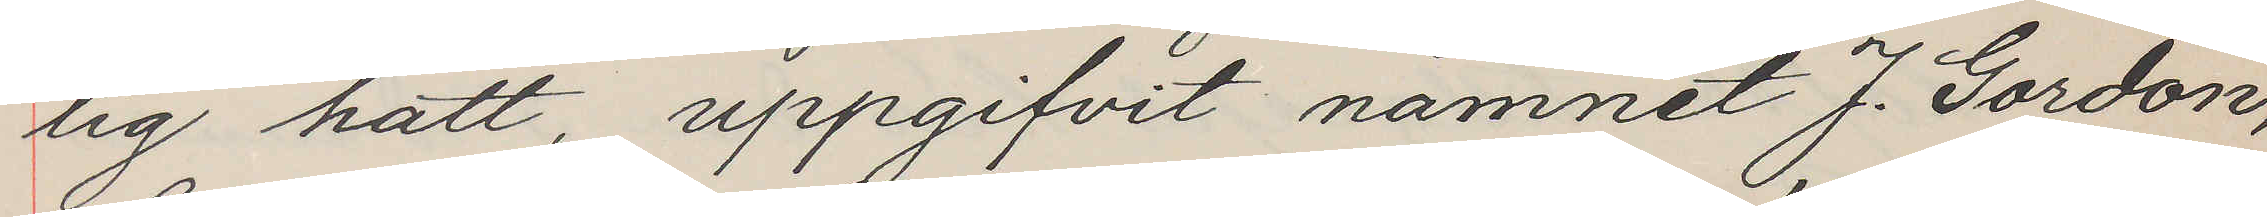lig hatt, uppgifvit namnet J. Gordon,
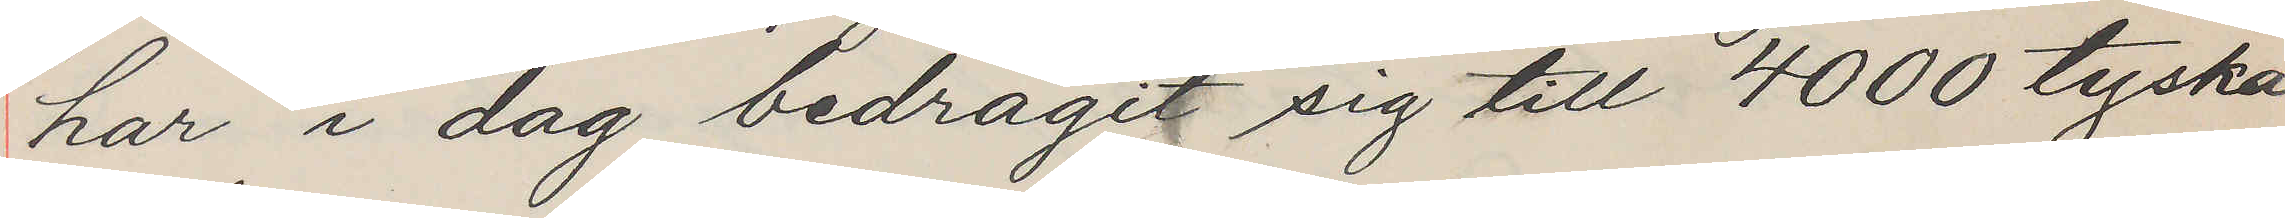har i dag bedragit sig till 4000 tyska
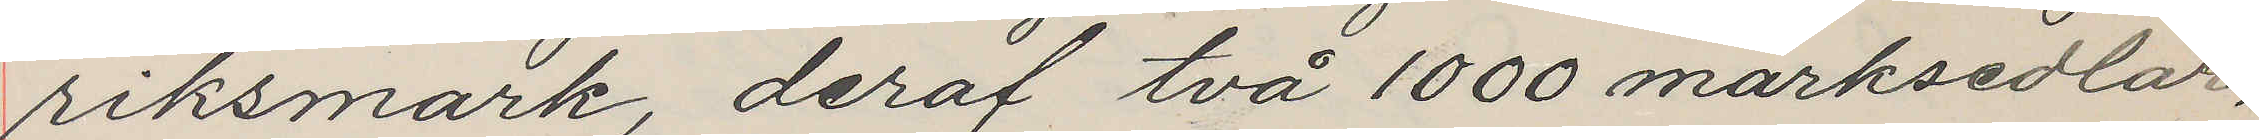riksmark, deraf två 1000 marksedlar,
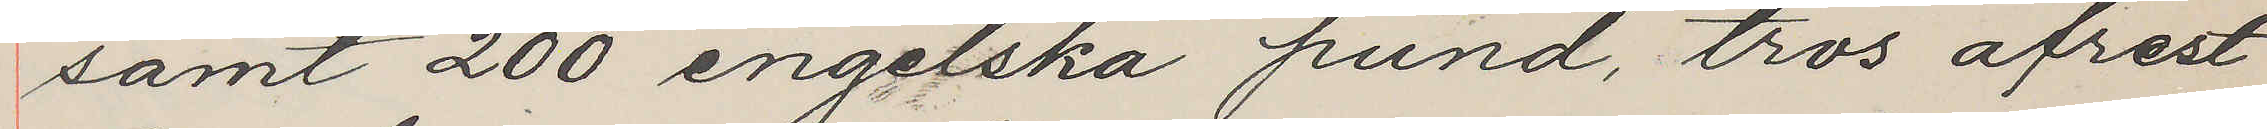samt 200 engelska pund, tros afrest
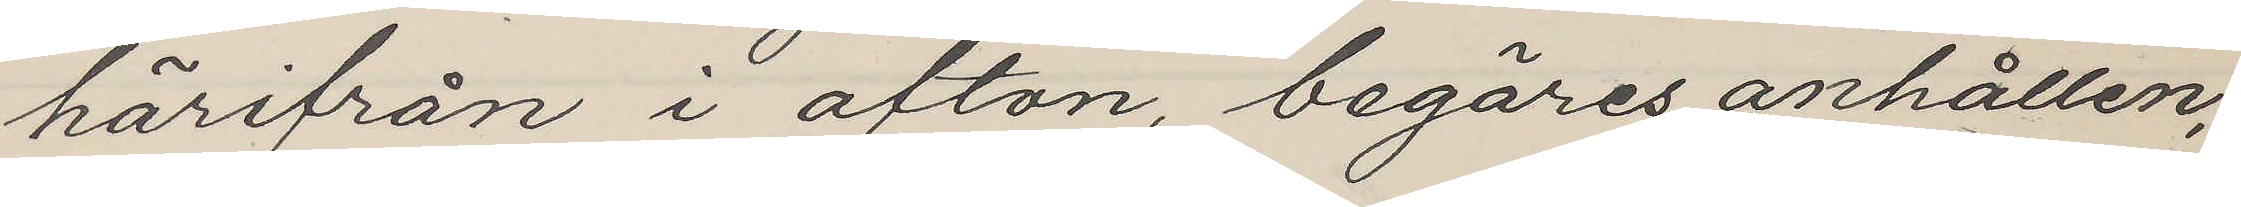härifrån i afton, begäras anhållen,
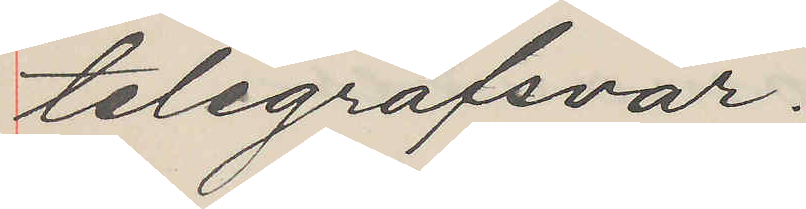telegrafsvar.
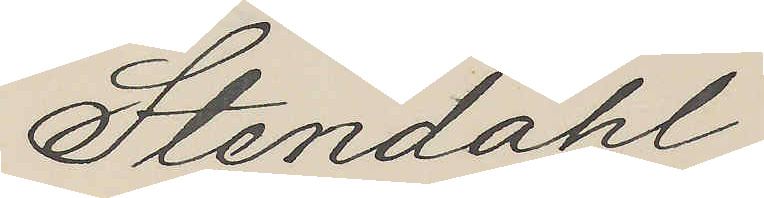Stendahl
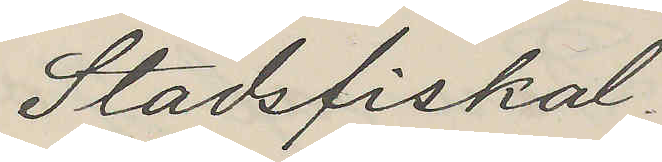Stadsfiskal.
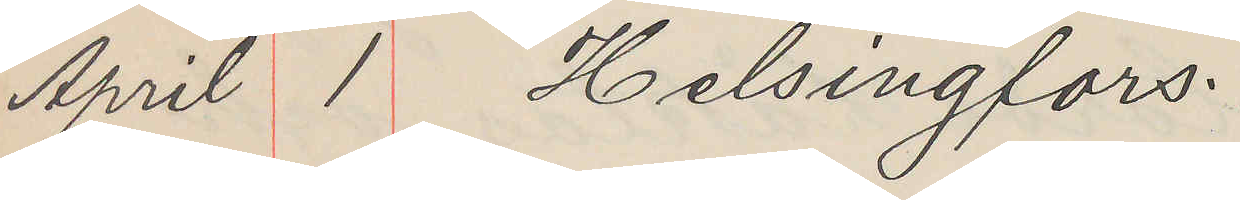April 1 Helsingfors.
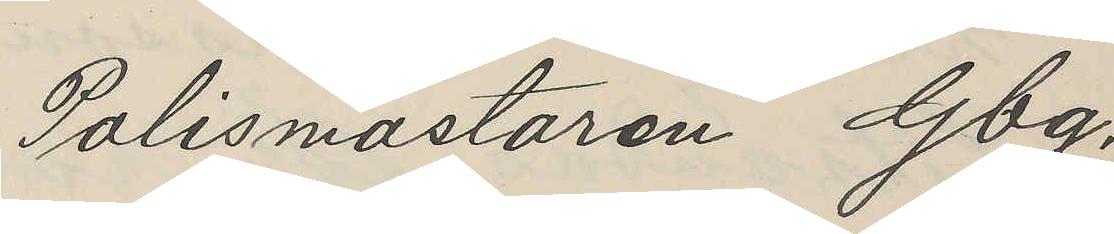Polismästaren Gbg.
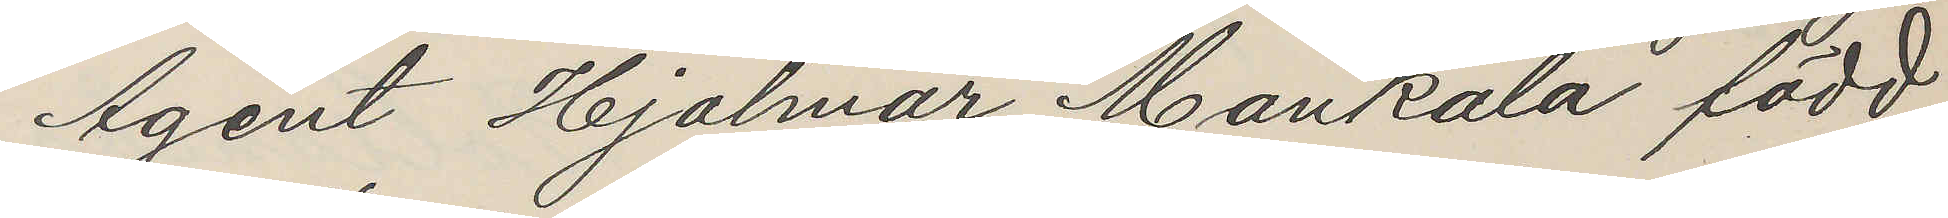Agent Hjalmar Mankala född
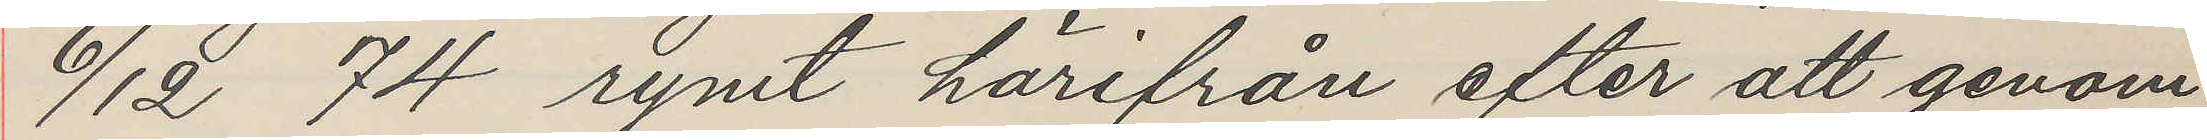6/12 74 rymt härifrån efter att genom
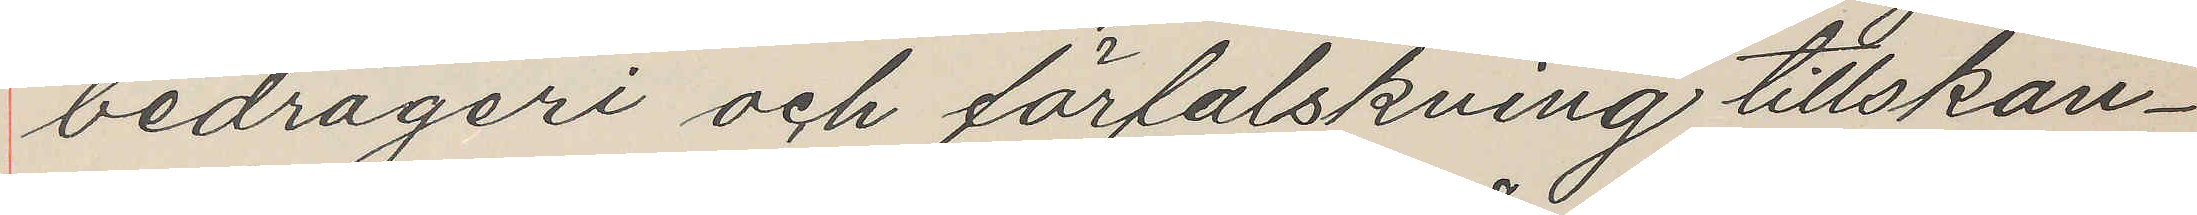bedrägeri och förfalskning tillskan¬
